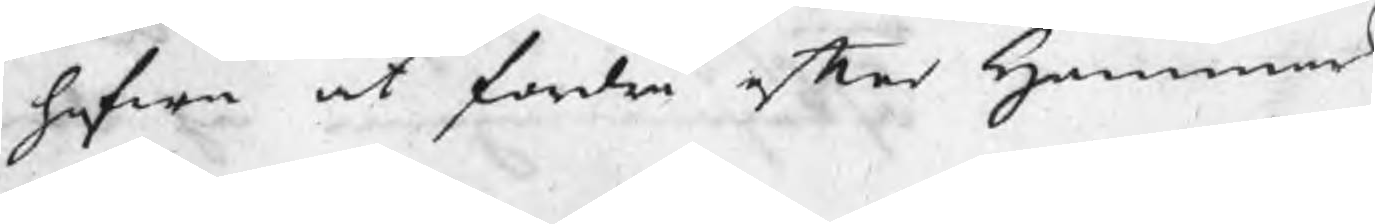hafwa at fordra efter Hammar
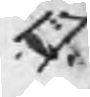17.
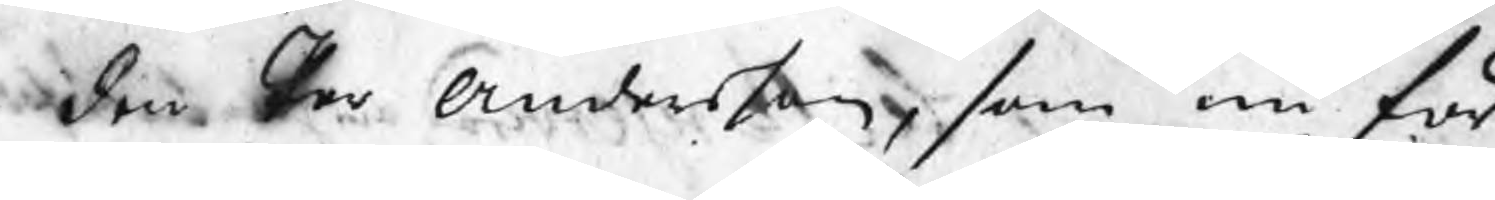den Per Andersson, som nu för
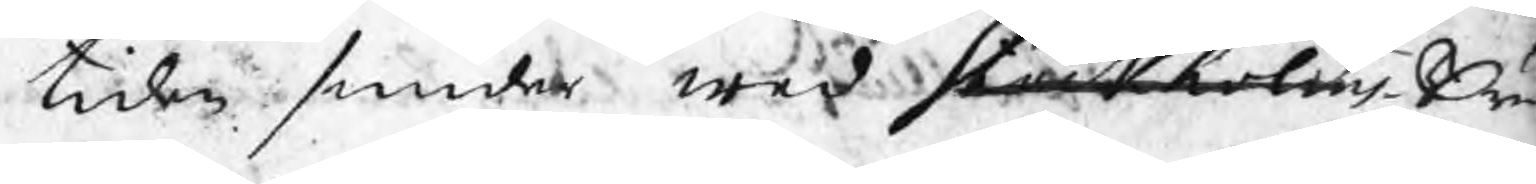tiden smider wed Stockholms Bruk
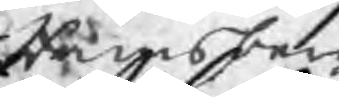Ramsbergz
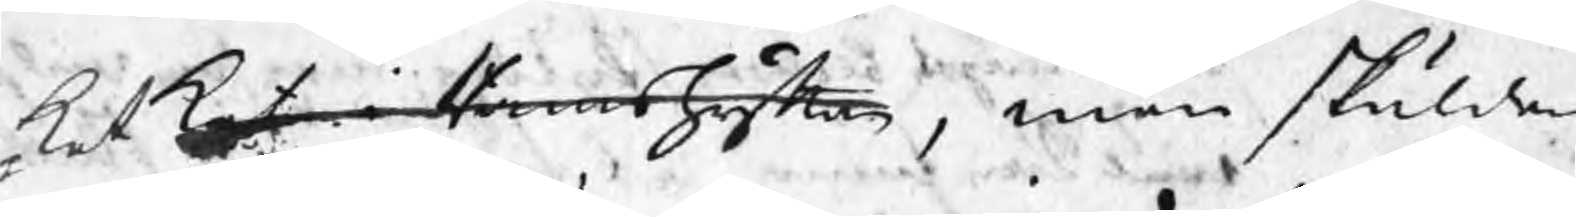ket ket i Ramshyttan, men skulden
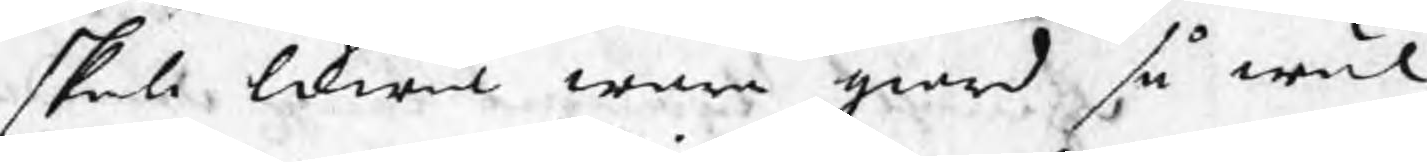skall likwäl wara giord så wäl
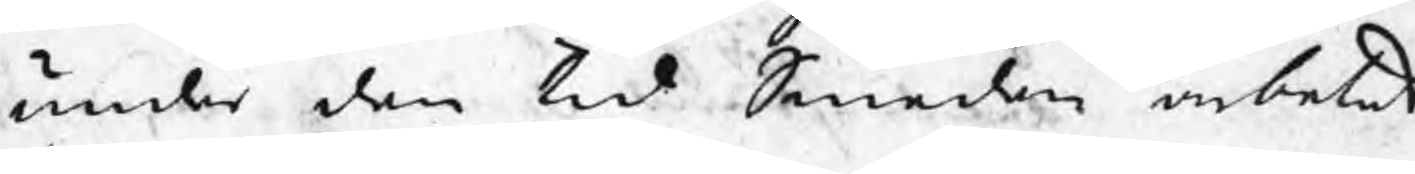under den tid Smeden arbetat
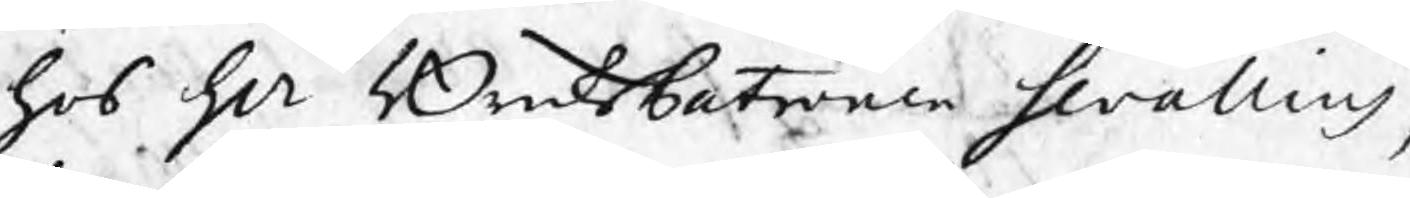hos Hr BruksPatronen Swalling,
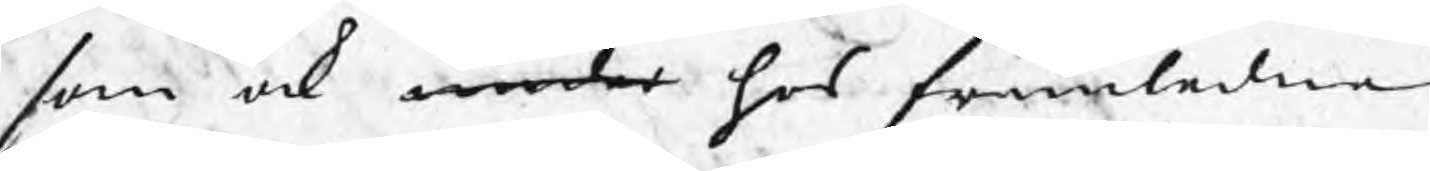som ock under hos framledne
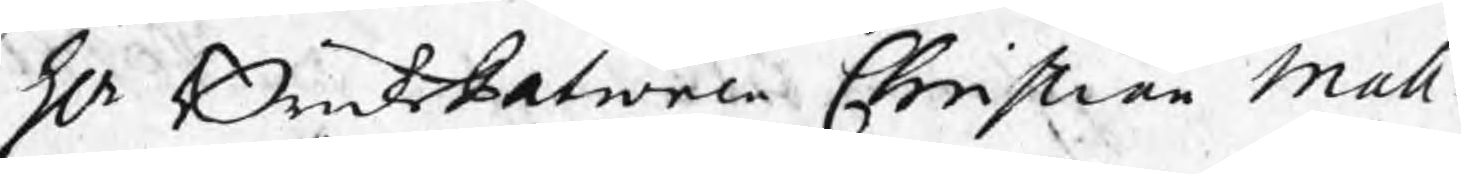Hr BruksPatronen Christian Mall¬
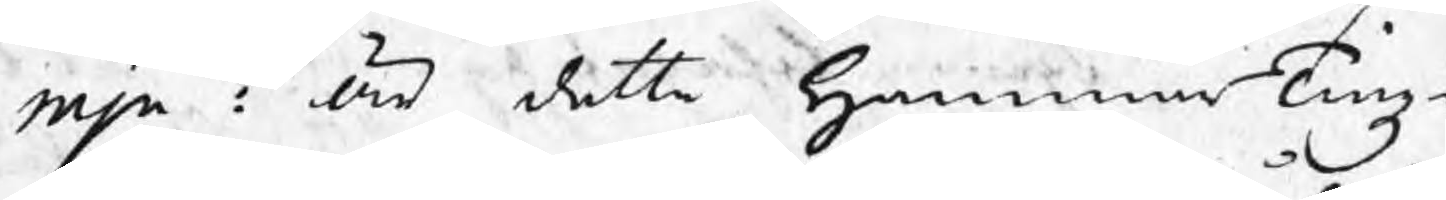mjn : är detta HammarTingz
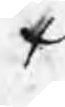+
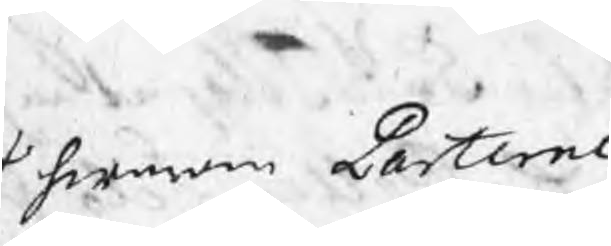+ hwarom Parterne
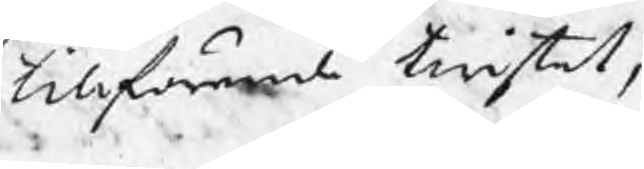tillförende twistat,
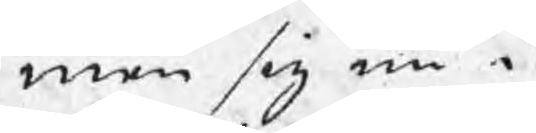men sig nu i
